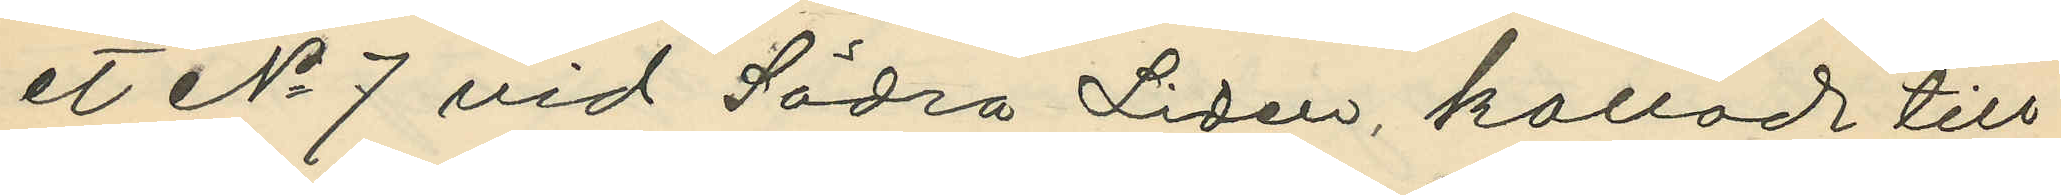et No 7 vid Södra Liden, kallad till
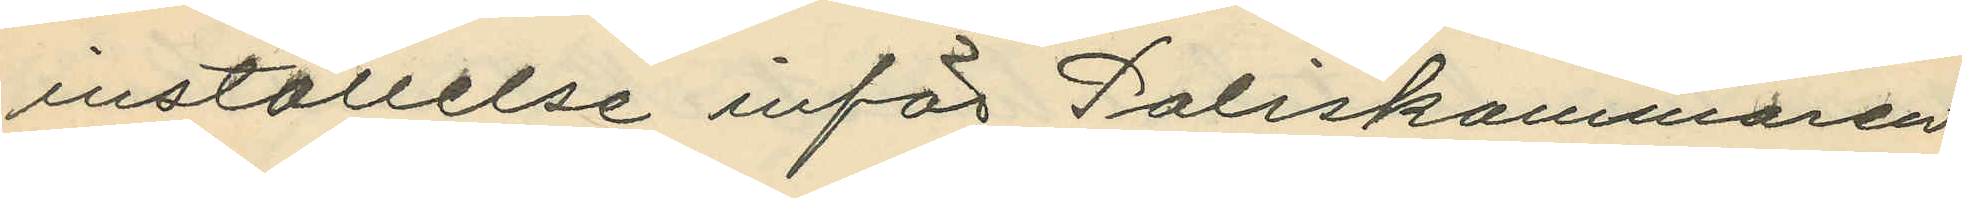inställelse inför Poliskammaren
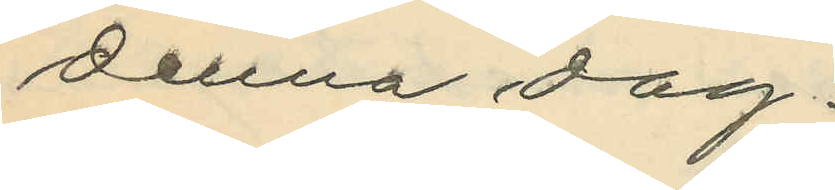denna dag.
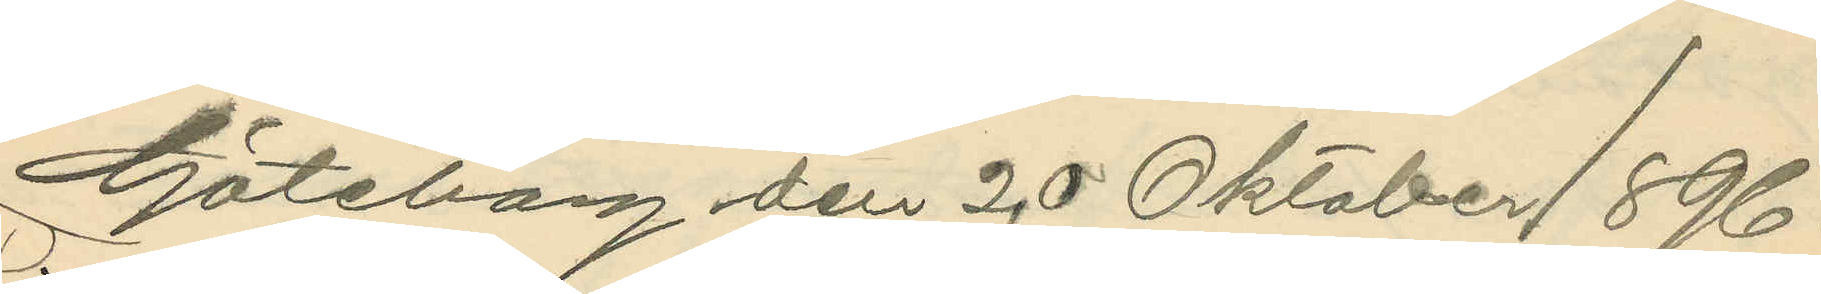Göteborg den 20 Oktober 1896.
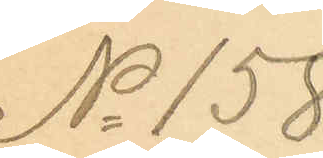No 158
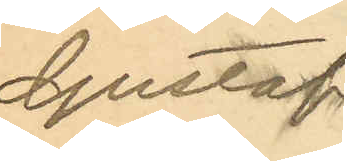Gustaf
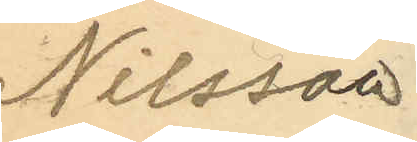Nilsson
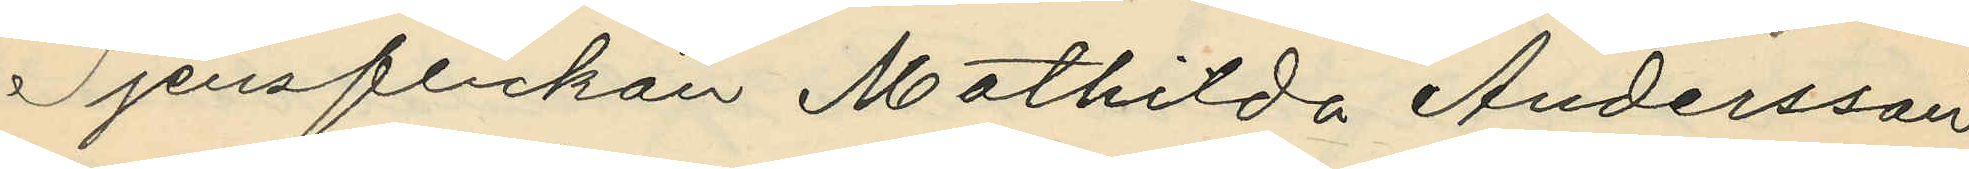Tjensflickan Mathilda Andersson
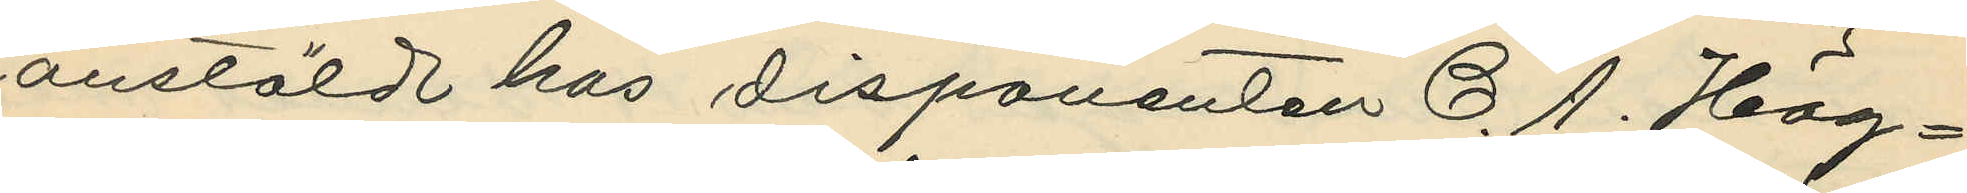anstäld hos disponenten C. A. Hög¬
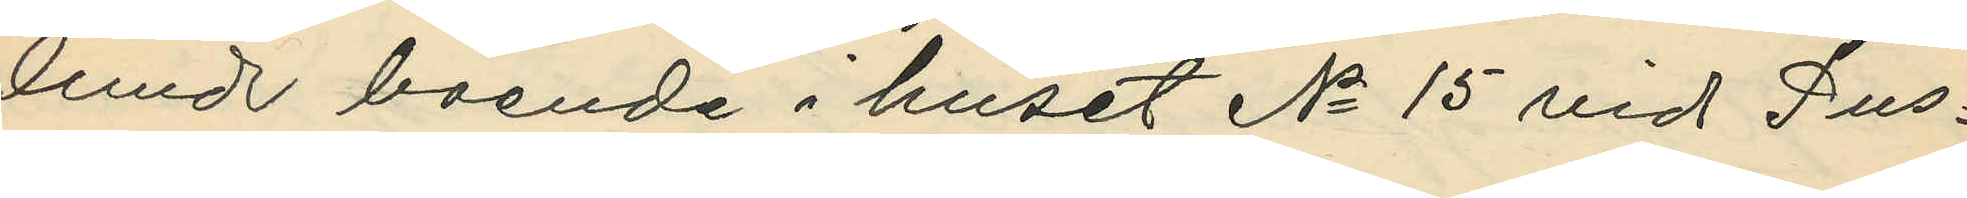lund boende i huset No 15 vid Pus¬
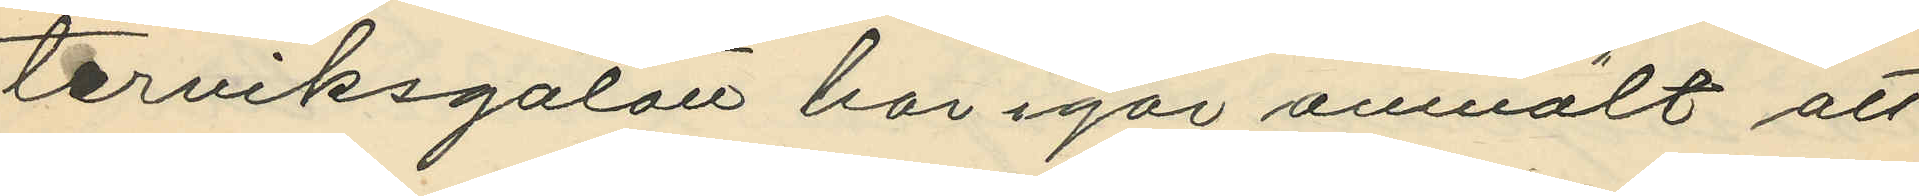terviksgatan har igår anmält att
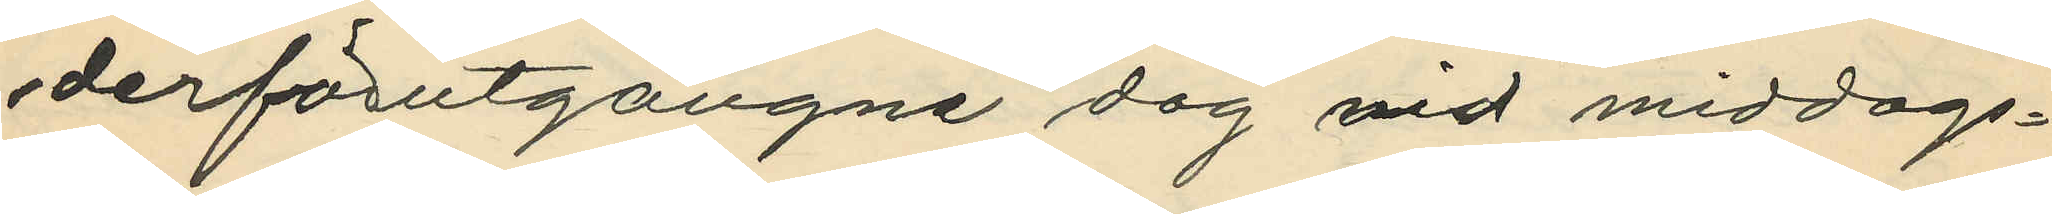derförutgångne dag vid middags¬
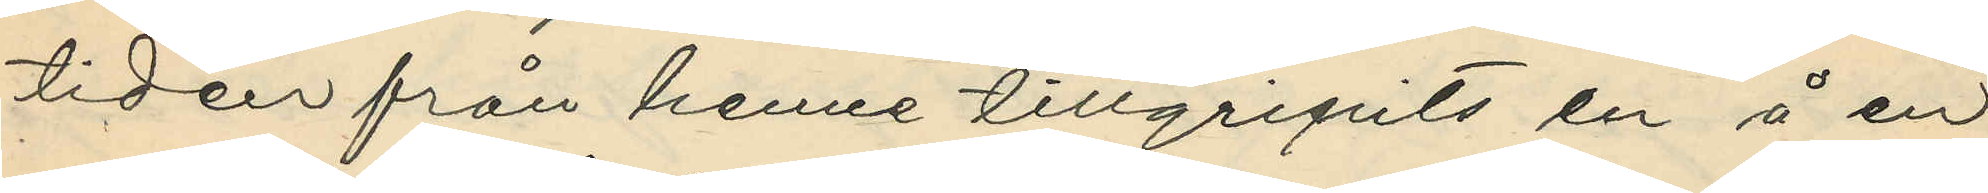tiden från henne tillgripits en å en
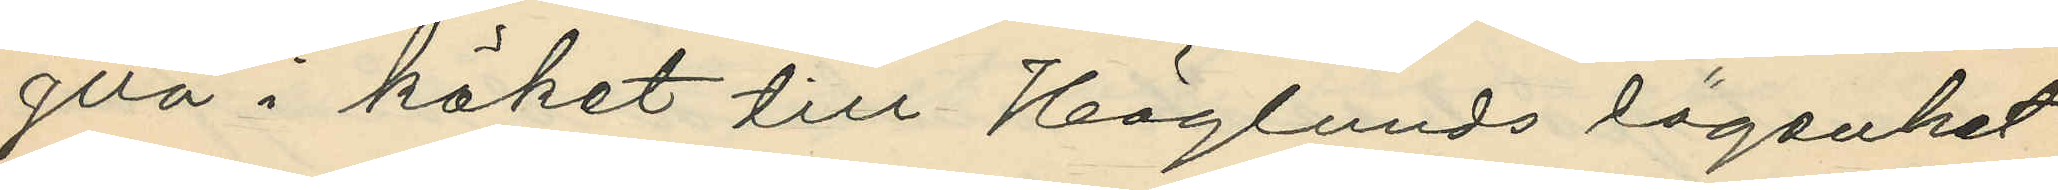glla i köket till Höglunds lägenhet
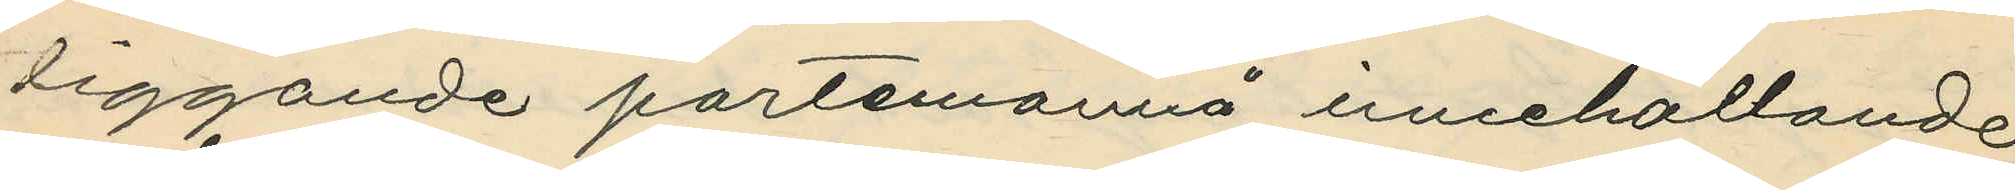liggande portemonnä innehållande
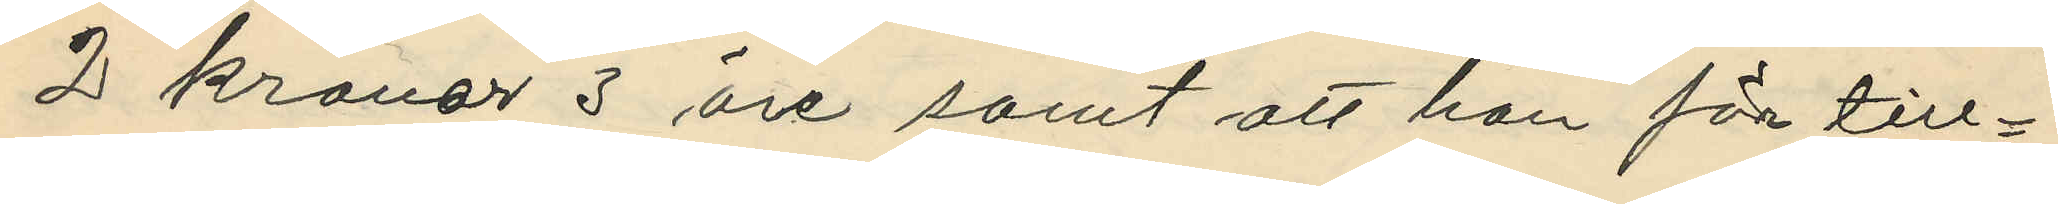2 kronor 3 öre samt att hon för till¬
